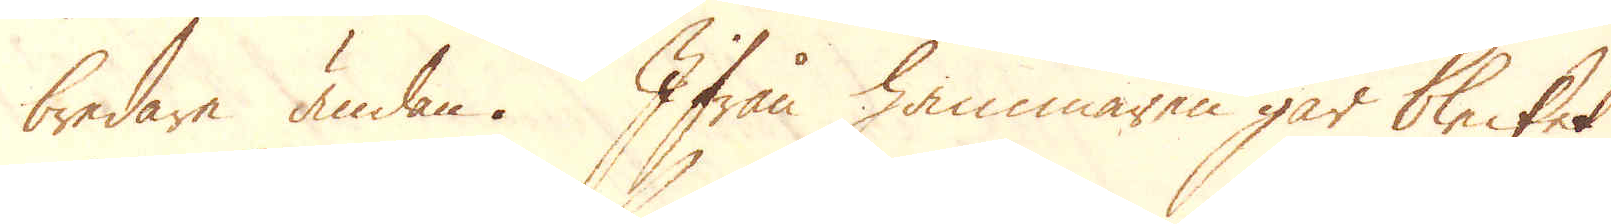bredare ändan. Ifrån hammaren går blecket
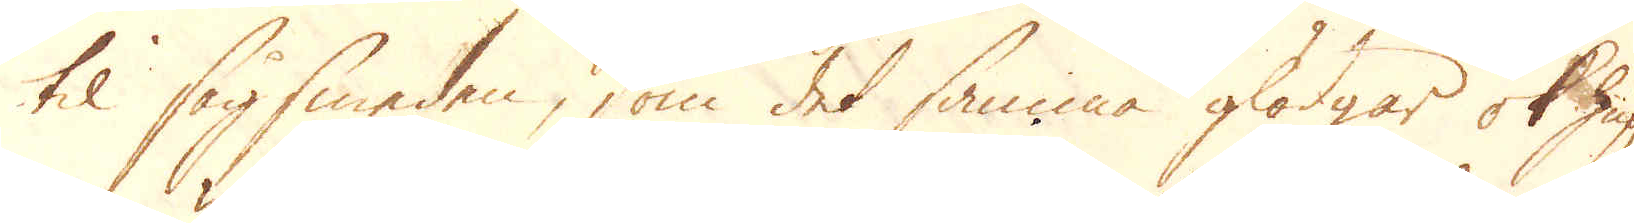til sågsmeden, som det samma glödgar ok hug-
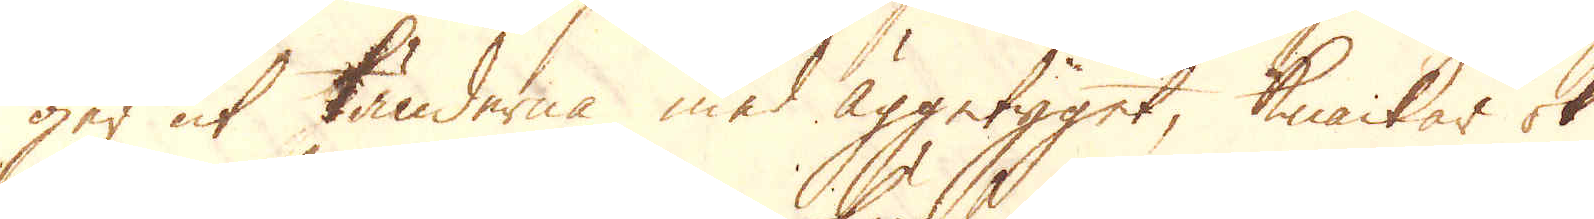ger ut tänderna med Äggetyget, Knackar ok
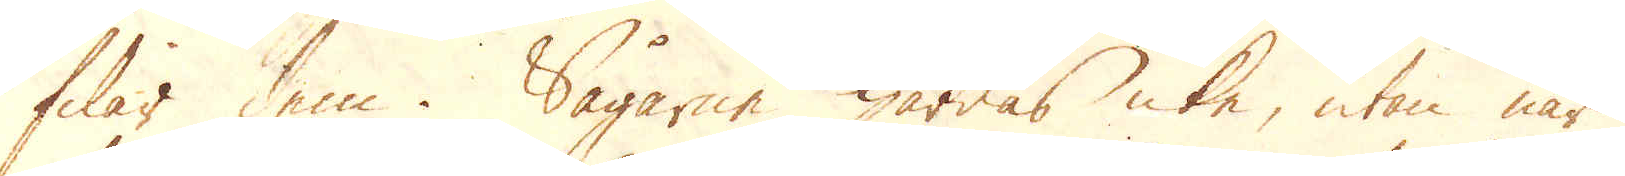filar dem. Sågarne härdas icke, utan när
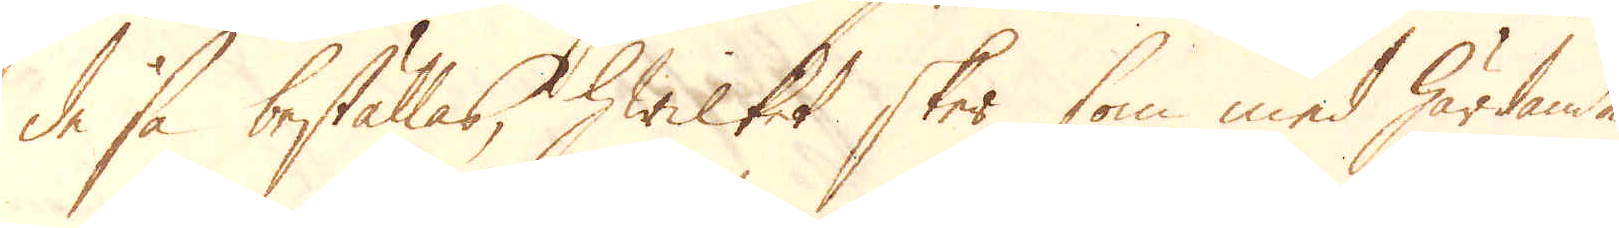de så beställas, hwilket sker, som med härdande
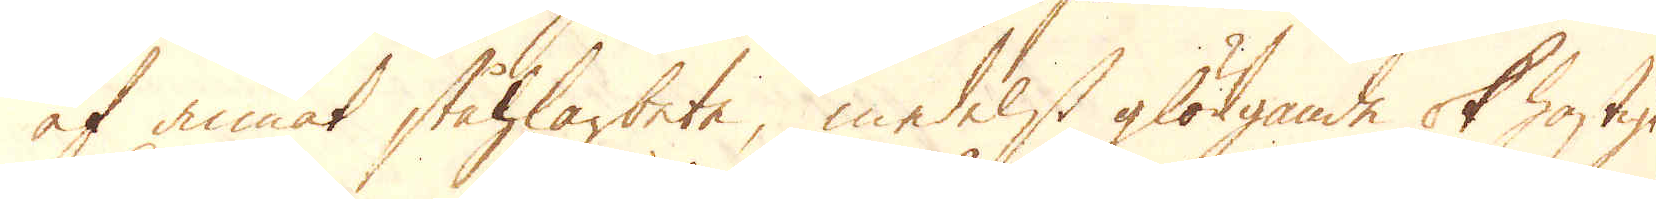af annat ståhlarbete, medelst glödgande ok hastigt
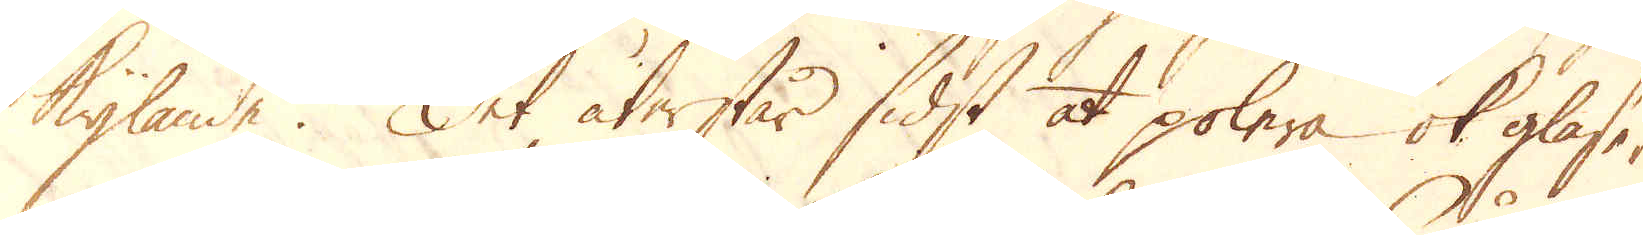kylande. Det återstår sidst at polera ok glase-
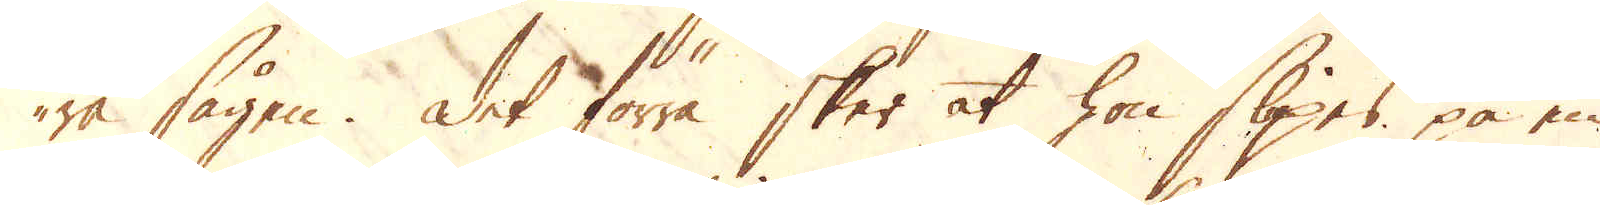ra sågen. Det förra sker at hon slipas på en
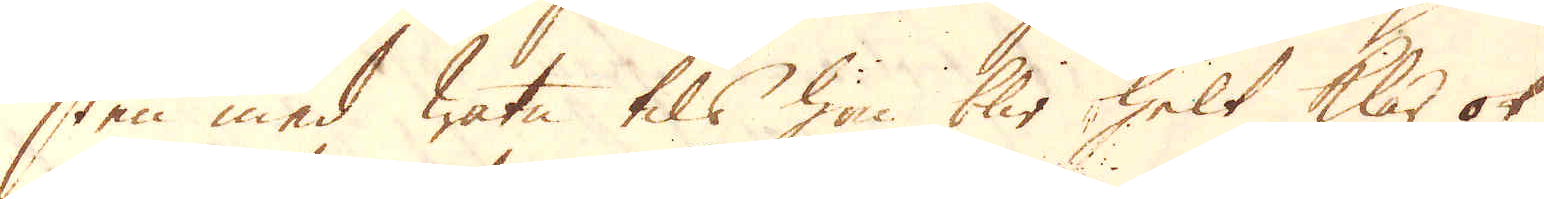sten med watn tils hon blir helt klar ok
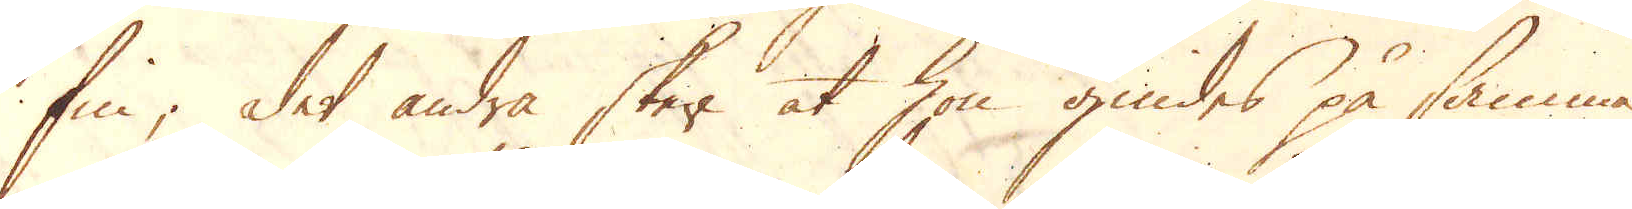fin; det andra sker at hon gnides på samma
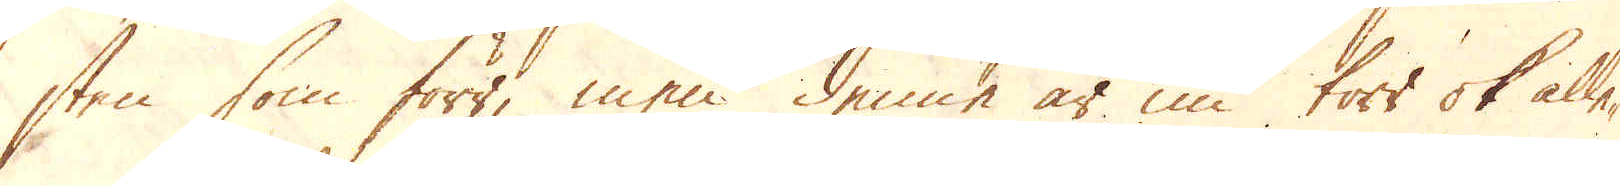sten som förr, men denne är nu torr ok alle-
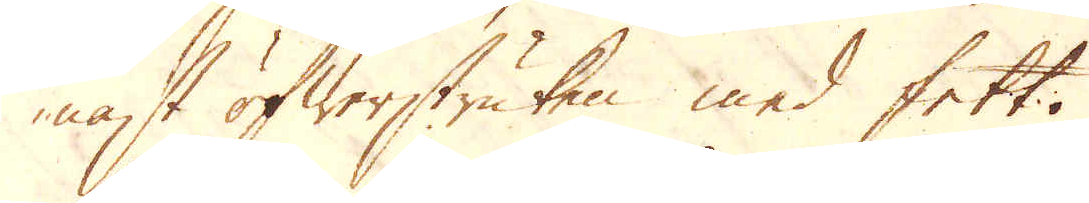nast öfwerstruken med fett.
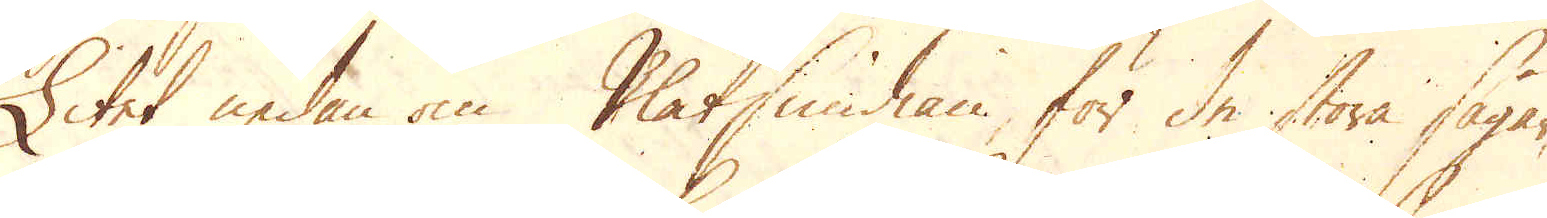Litet nedan om Plåtsmidian för de stora sågar
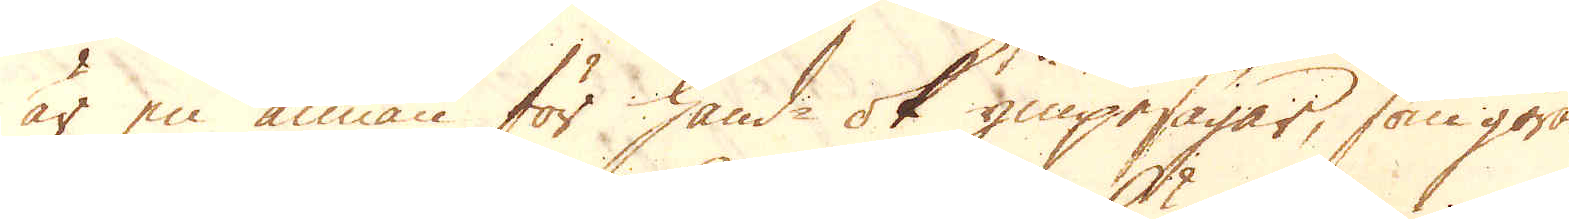är en annan för hand- ok ympesågar, som göras
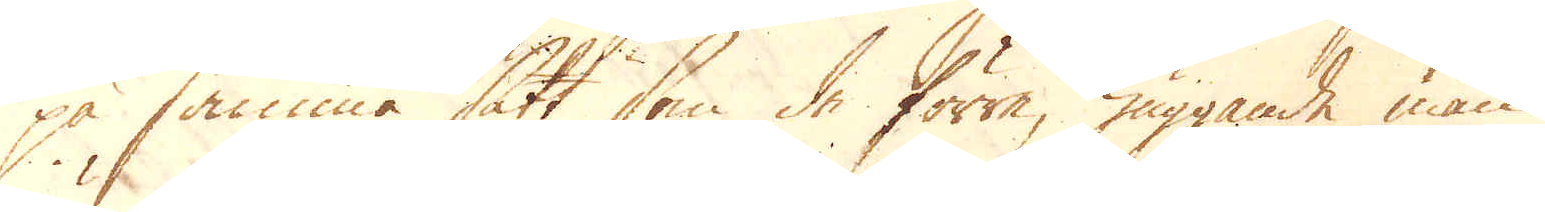på samma sätt som de förra, huggande man
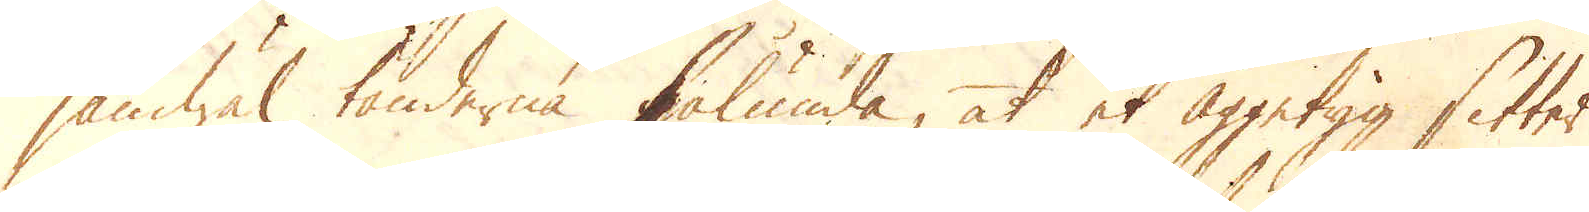jämwäl tänderna sålunda, at et Äggetyg sitter
